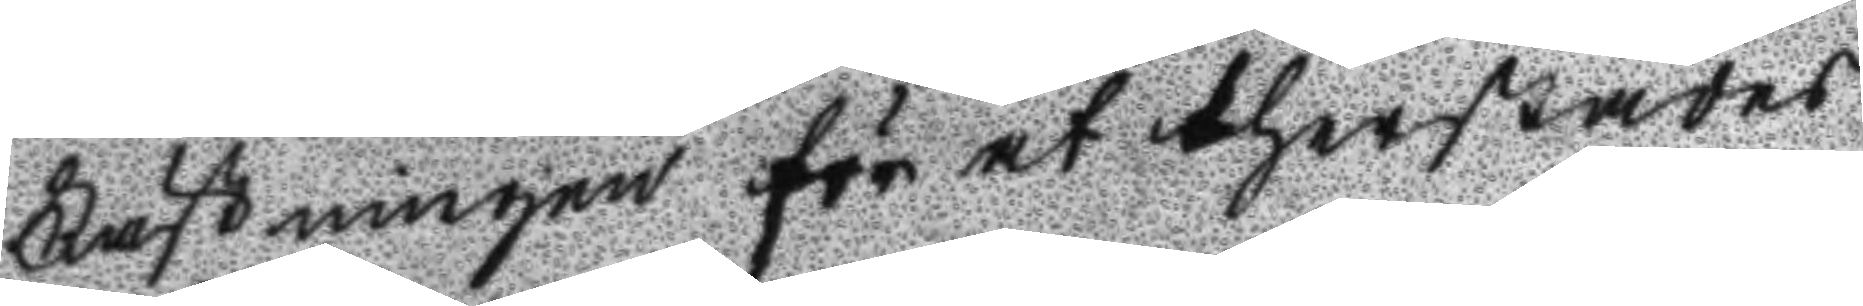Fästningen för at therstädes
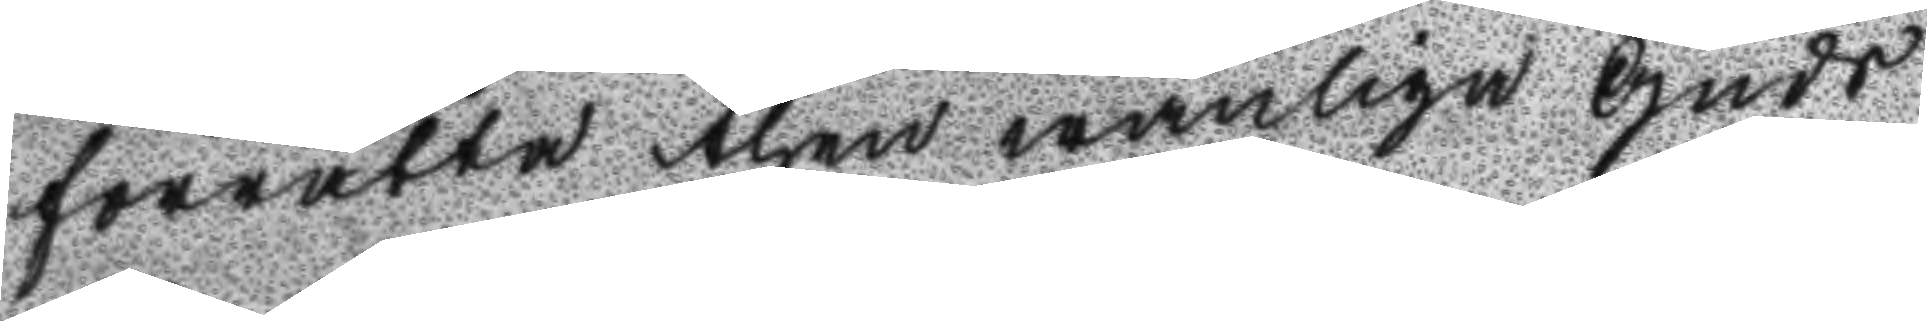förrätta then wanliga Guds
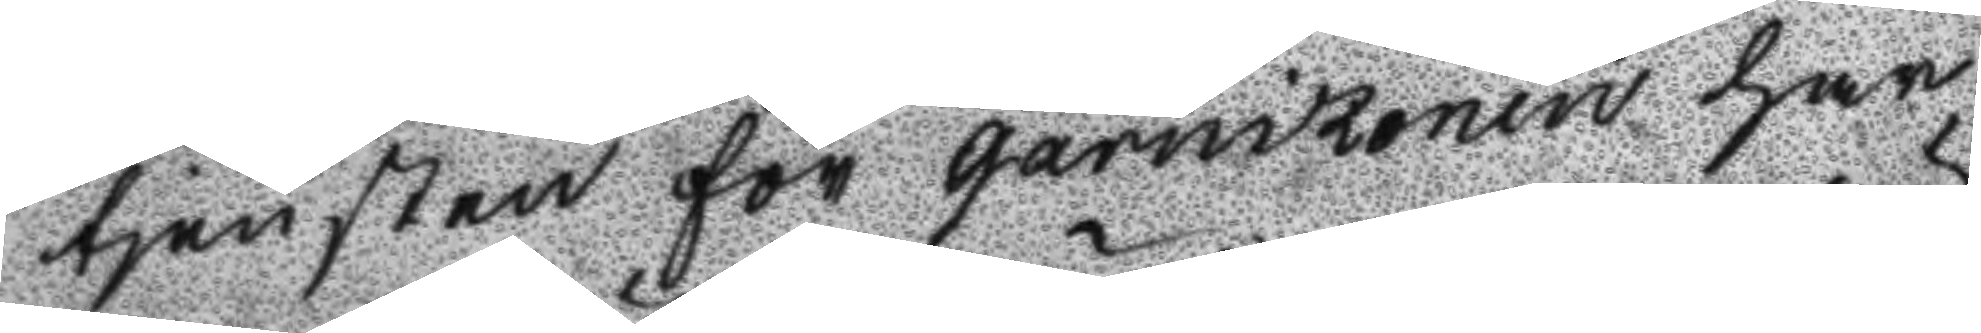tjensten för garnißonen har
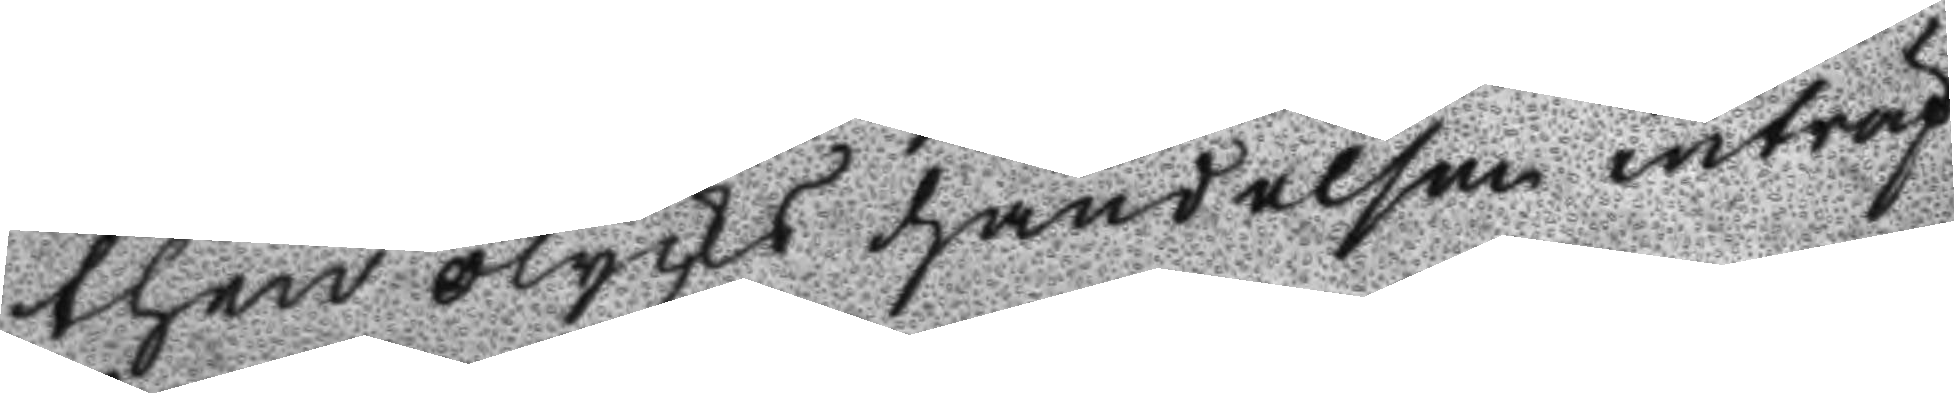then olycks händelsen inträf
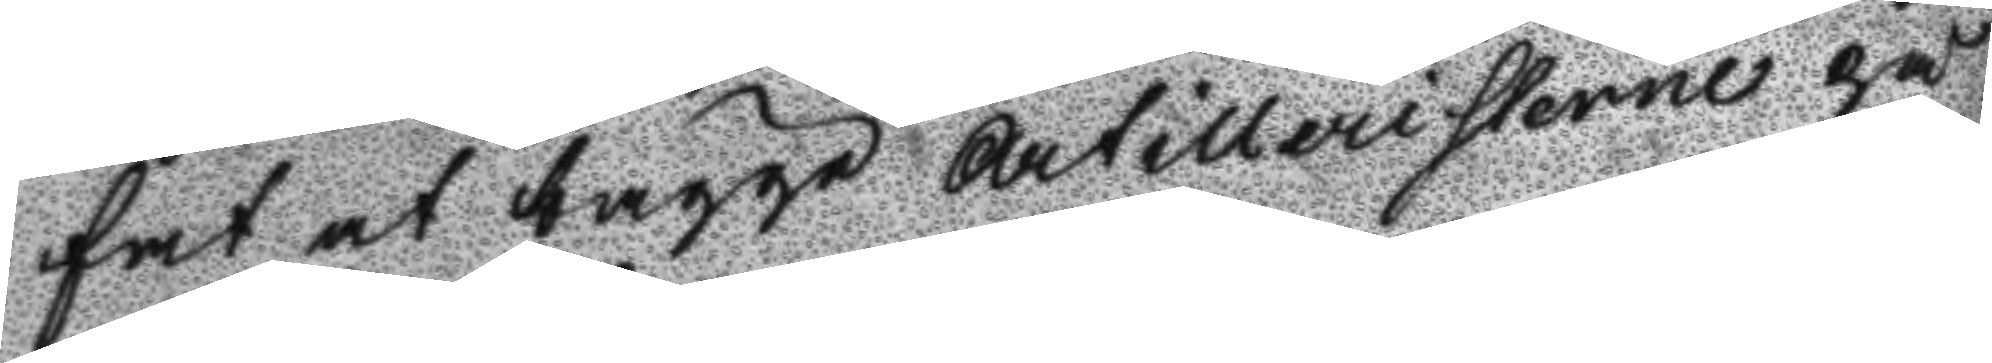fat at begge Artilleristerne på
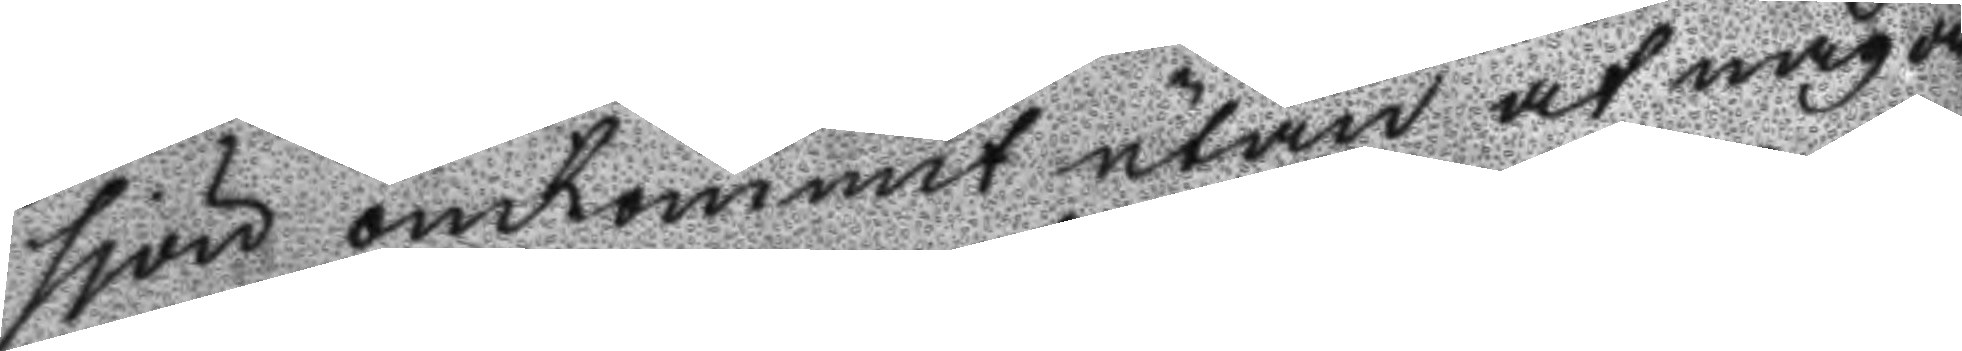sjön omkommit utan at någon
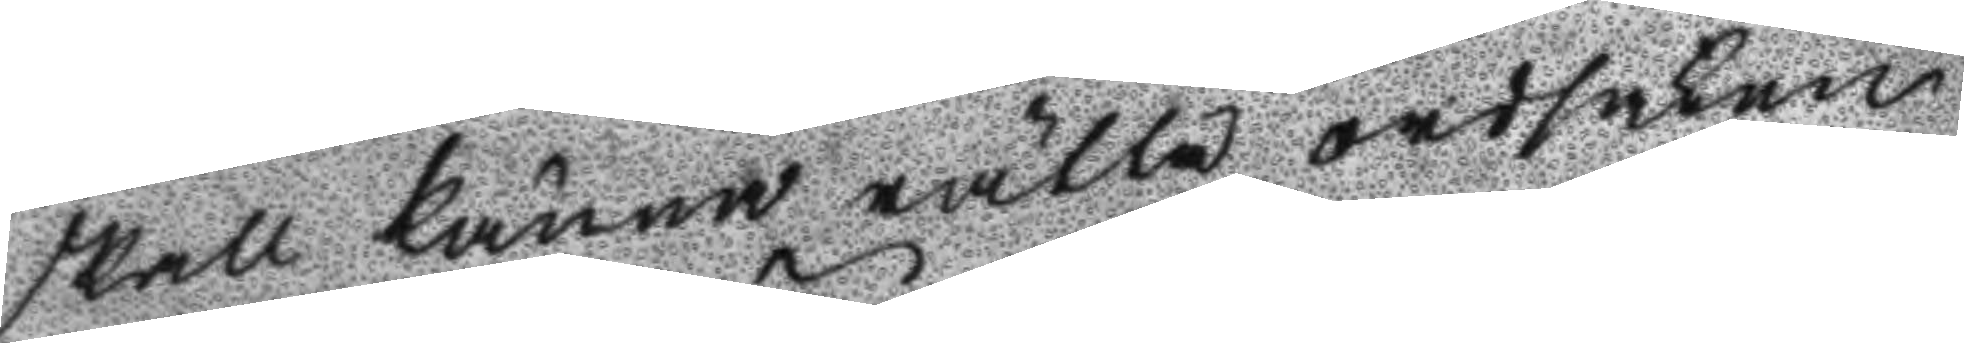skall känna rätta ordsaken
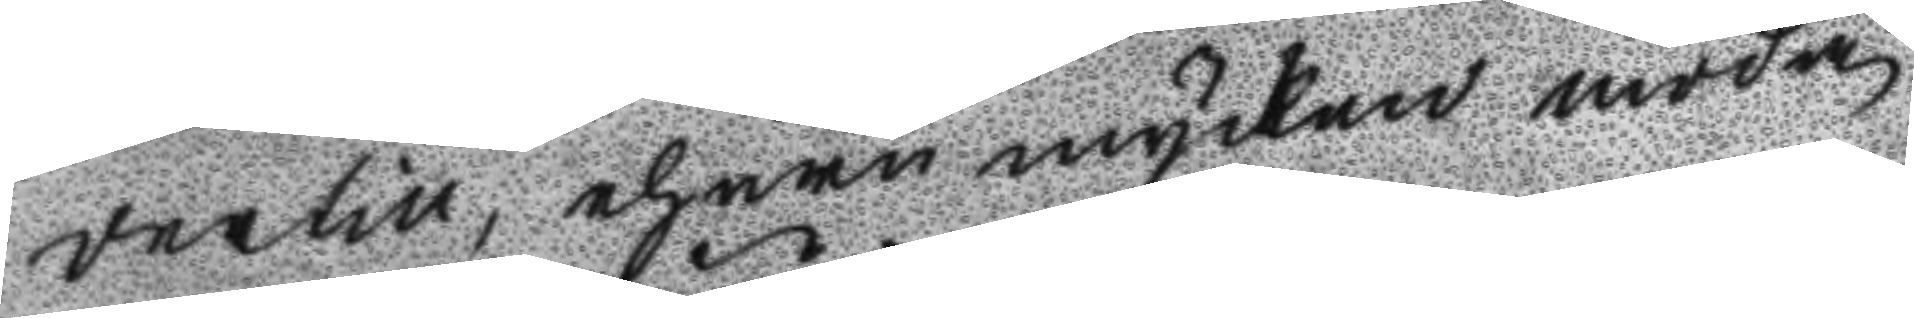dertill, ehuru mycken möda
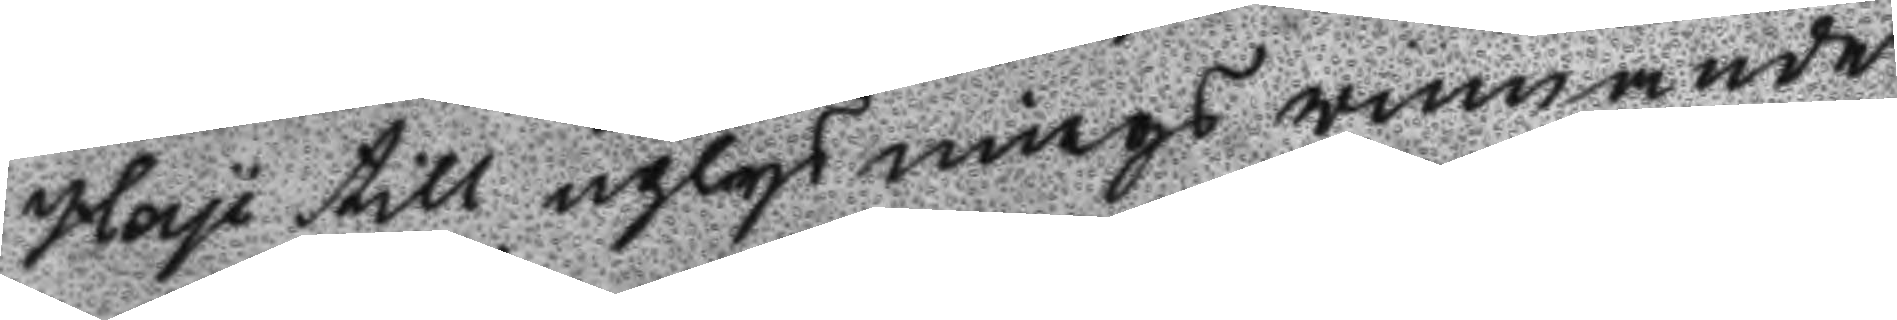Hay till uplysnings winnande
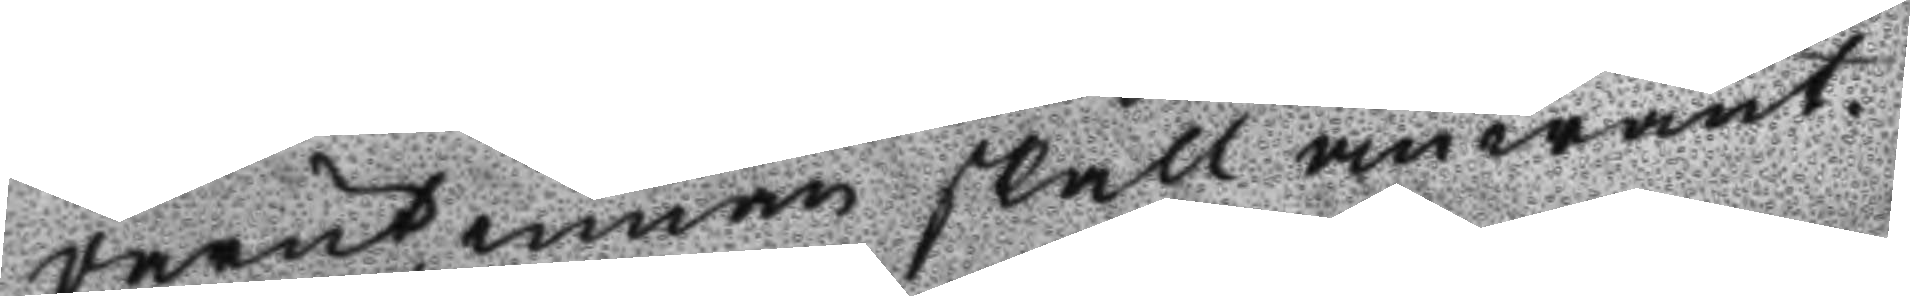derutinnan skall anwänt.
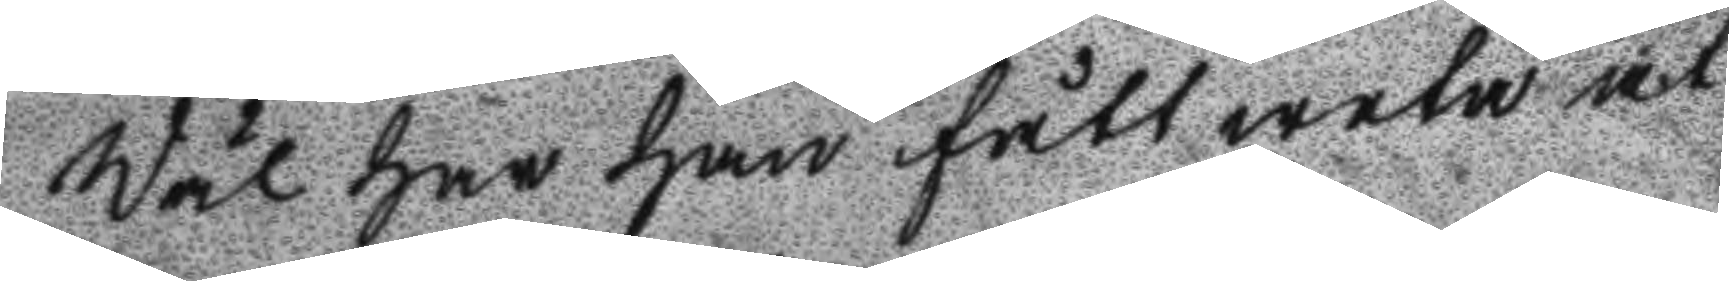Wäl har han fått weta at
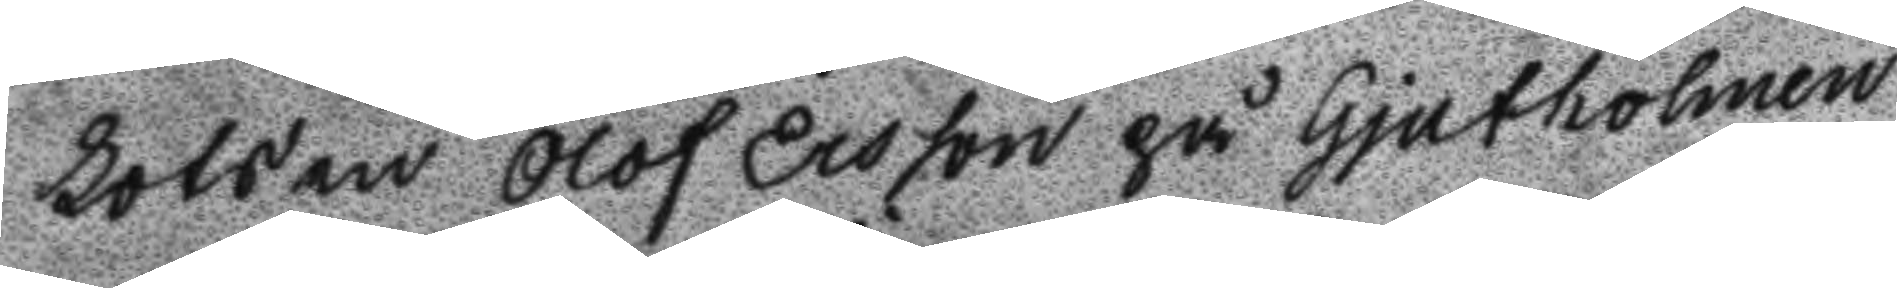Lotsen Olof Ersson på Gjutholmen
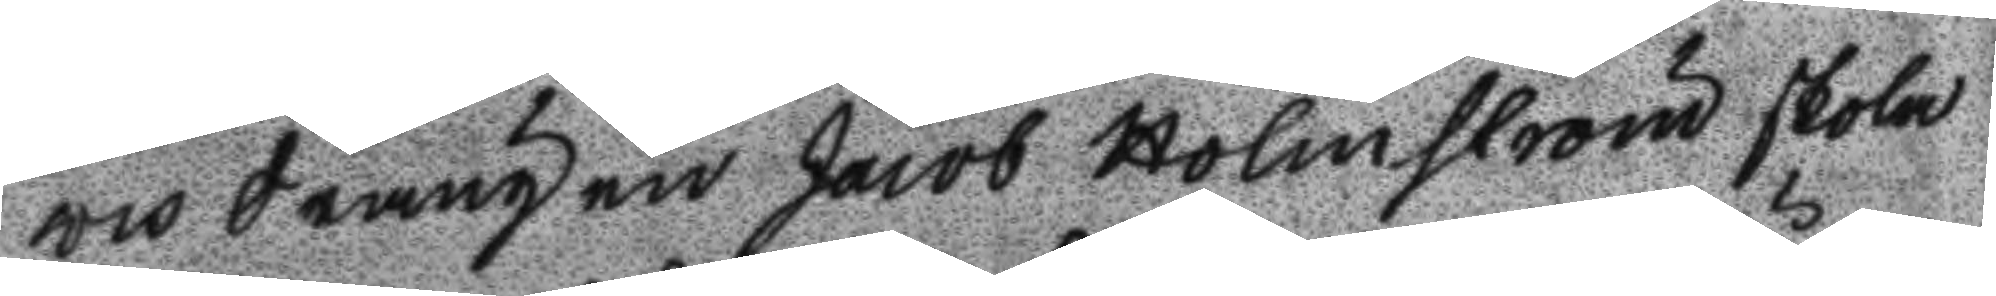och drängen Jacob Holmström skola
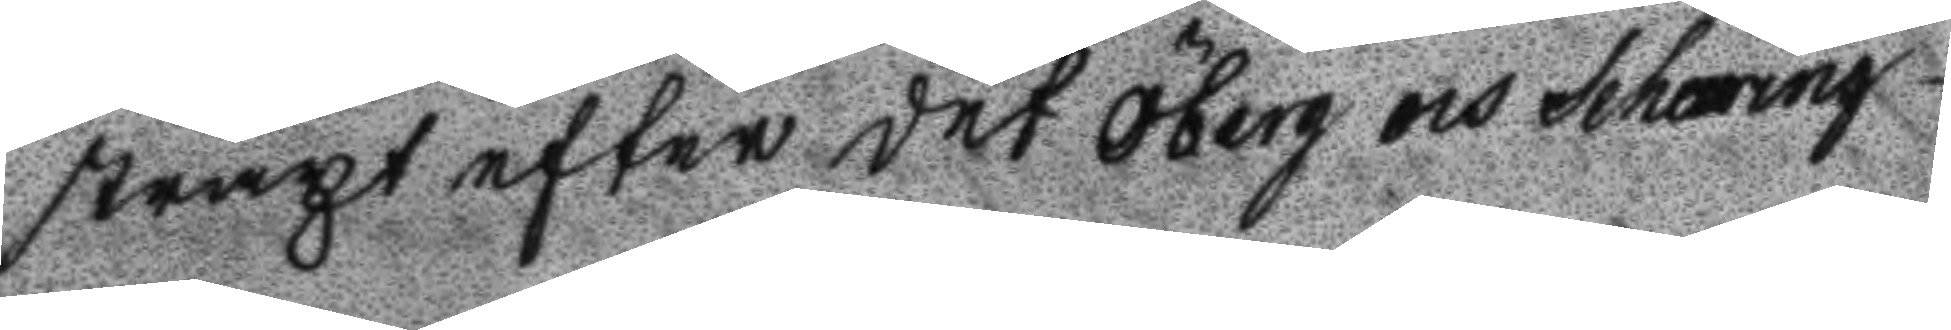straxt efter det Öberg och Schäring
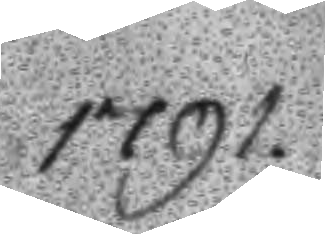1791.
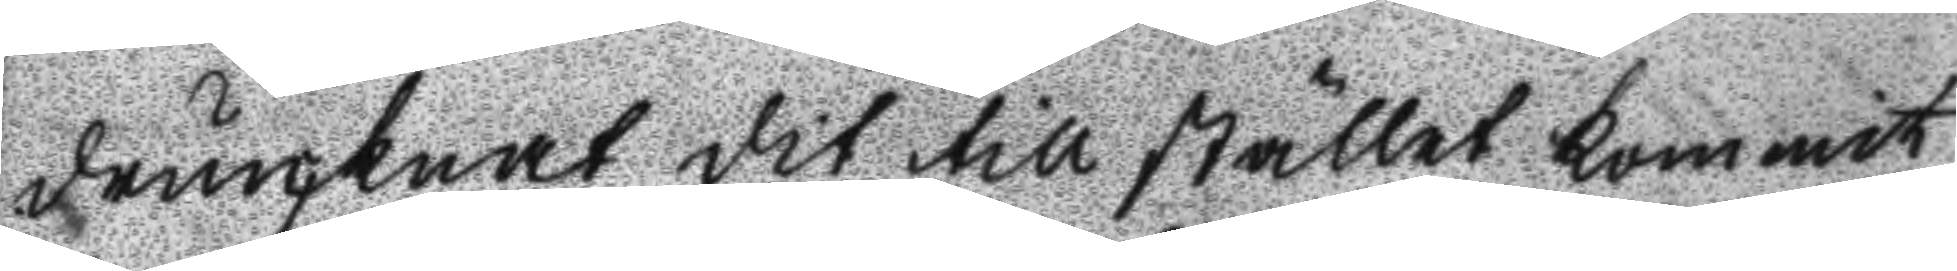druncknat dit till stället kommit
